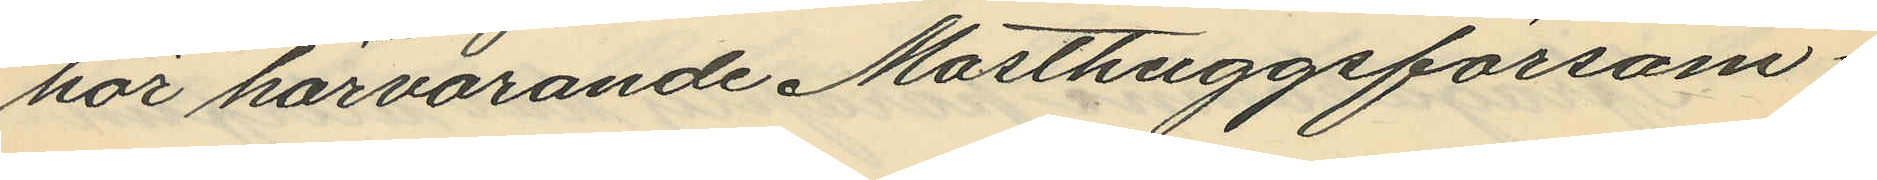hör härvarande Masthuggsförsam¬
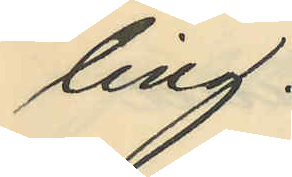ling.
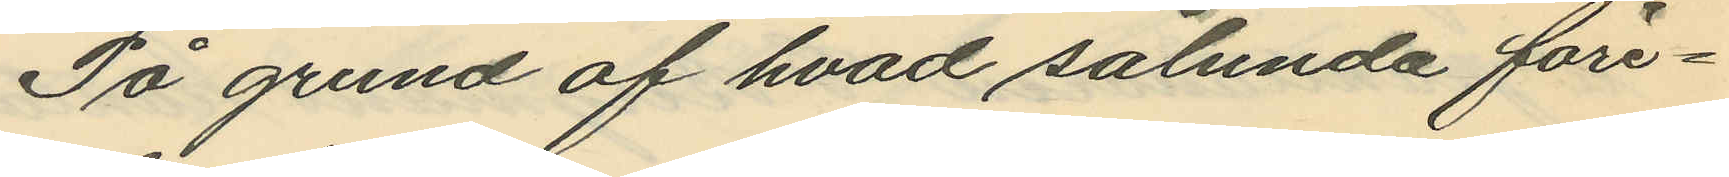På grund af hvad sålunda före¬
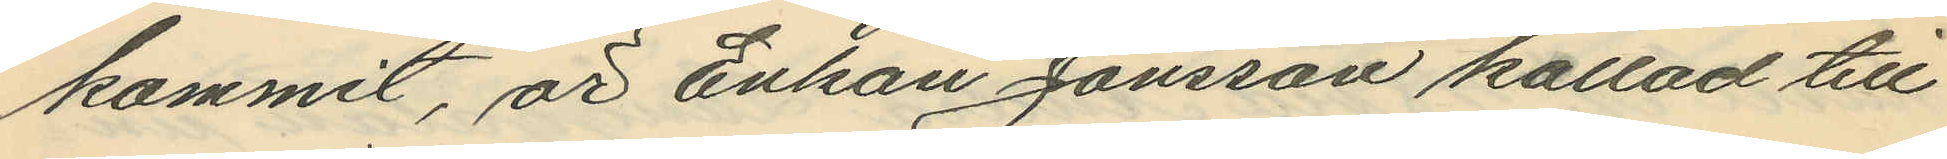kommit, är Enkan Jonsson kallad till
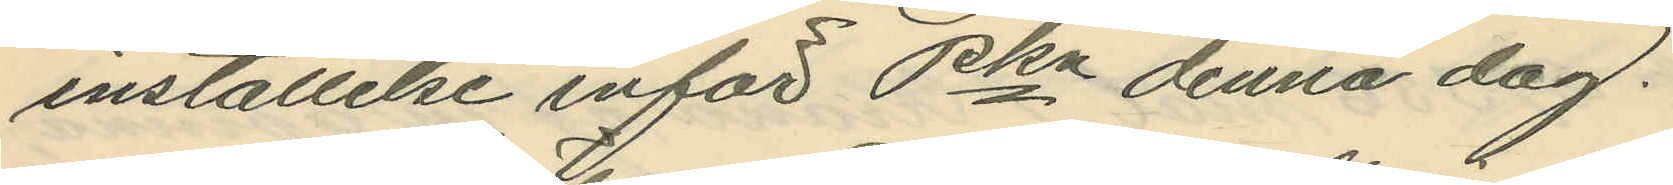inställelse inför Pkn denna dag.
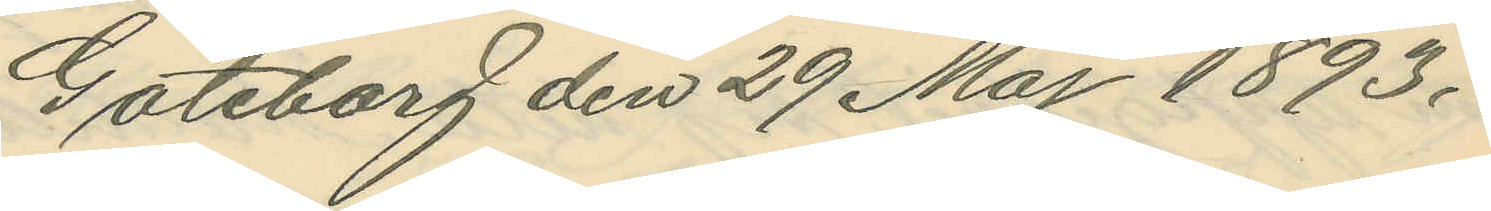Göteborg den 29 Maj 1893.
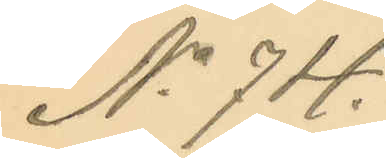No 74.
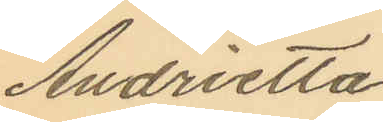Andrietta
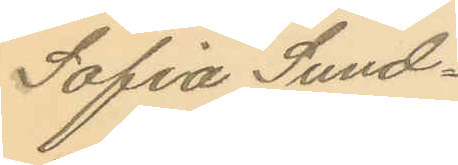Sofia Sund¬
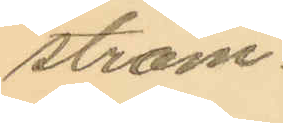ström.
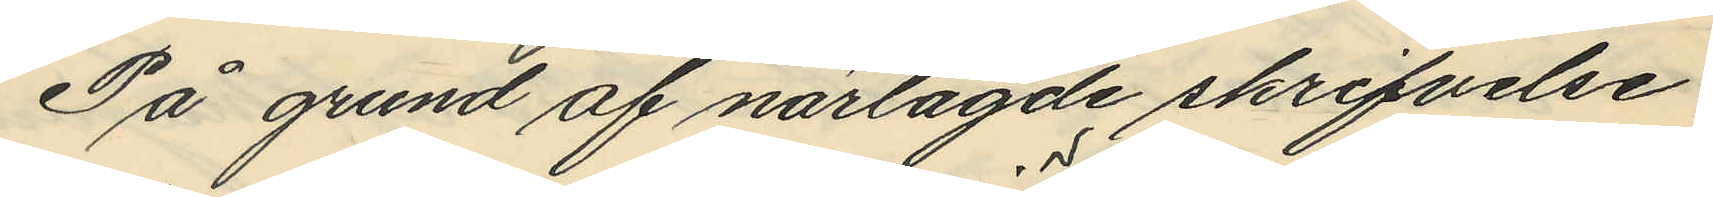På grund af närlagde skrifvelse
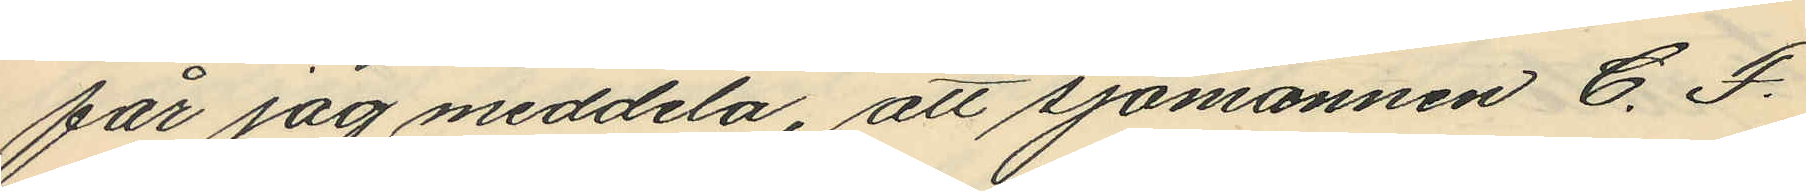får jag meddela, att sjömannen C. F.
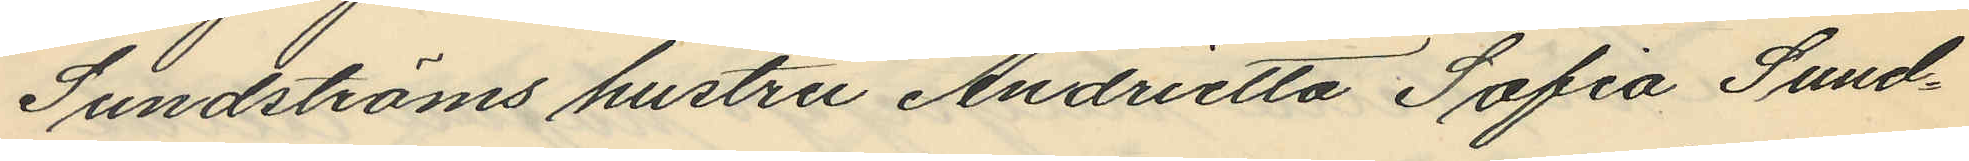Sundströms hustru Andrietta Sofia Sund¬
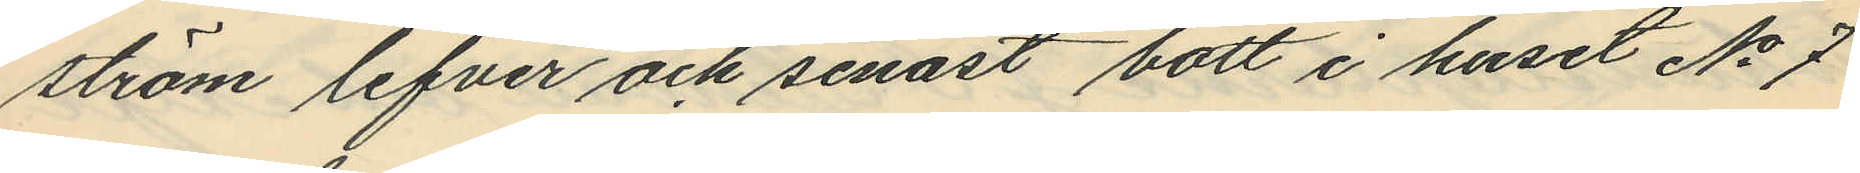ström lefver och senast bott i huset No 7
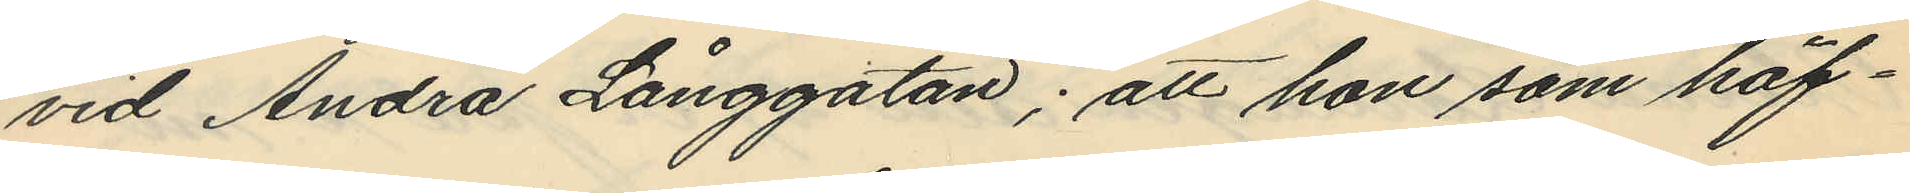vid Andra Långgatan; att hon som häf¬
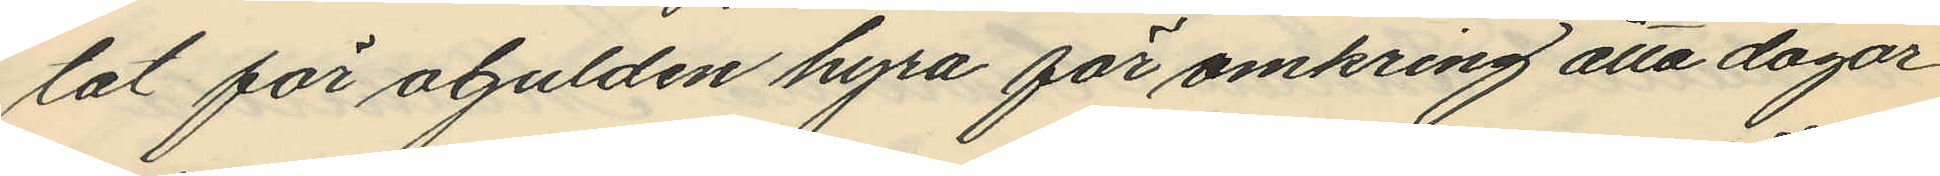tat för ogulden hyra för omkring åtta dagar
